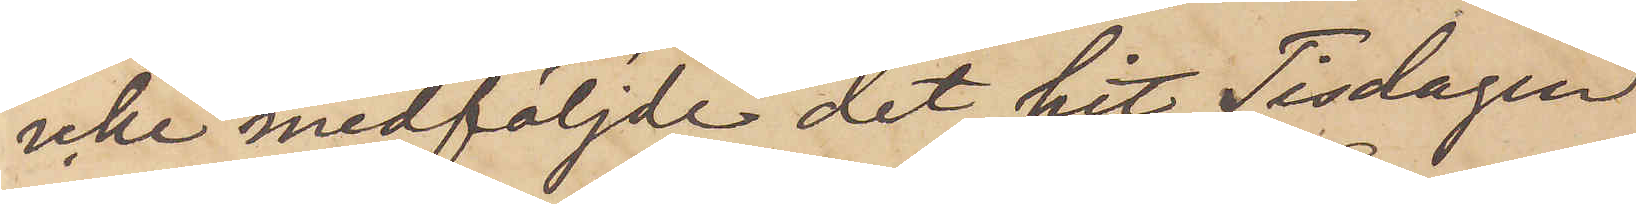icke medföljde det hit Tisdagen
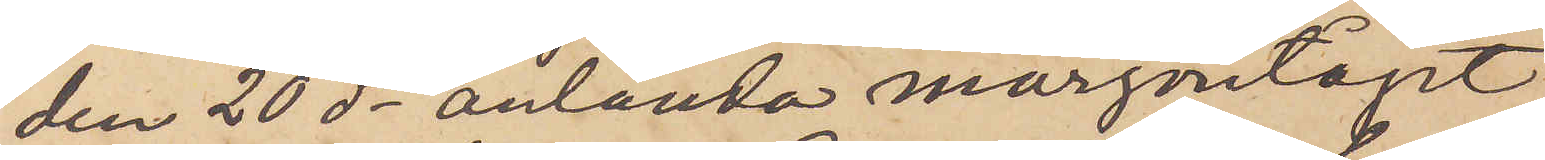den 20 ds anlända morgontåget
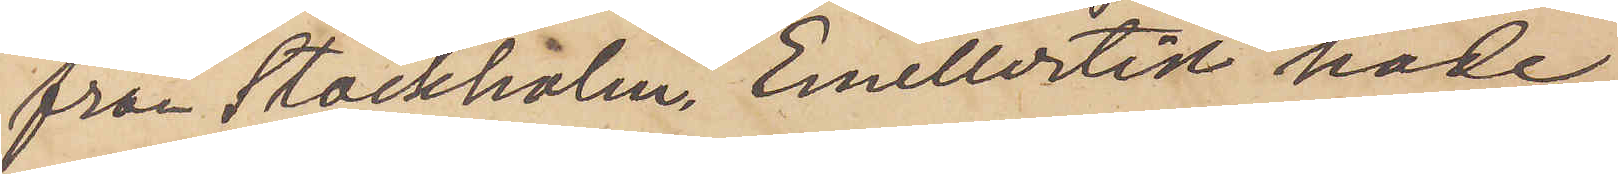från Stockholm. Emellertid hade,
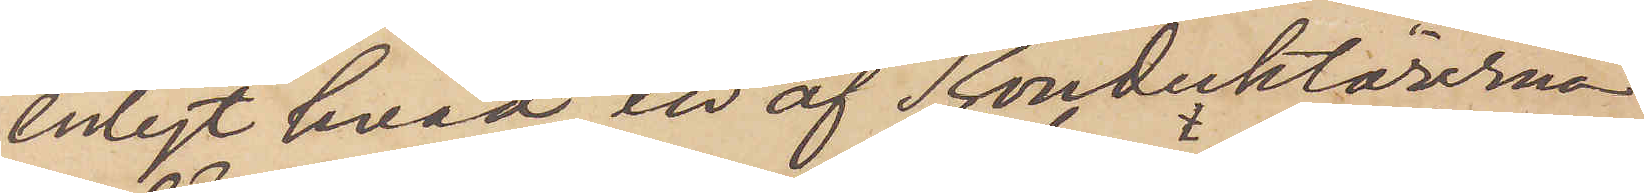enligt hvad en af Konduktörerna
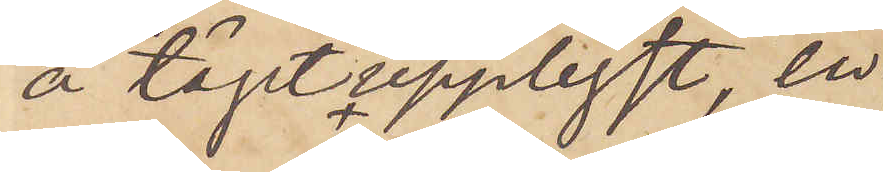å tåget upplyst, en
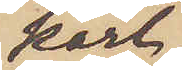karl,
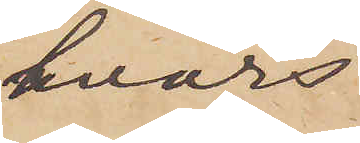hvars
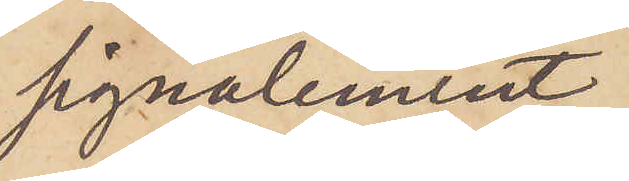signalement
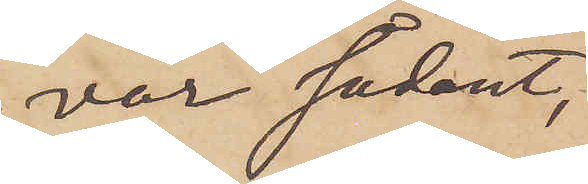var sådant,
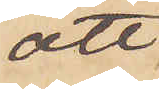att
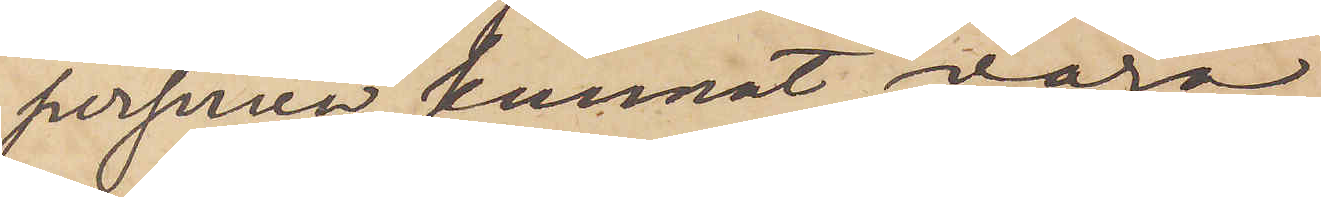personen kunnat vara
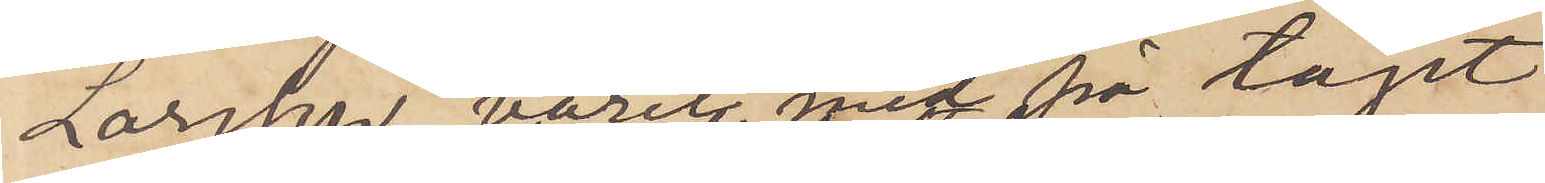Larsson varit med på tåget
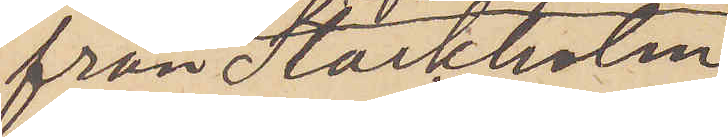från Stockholm
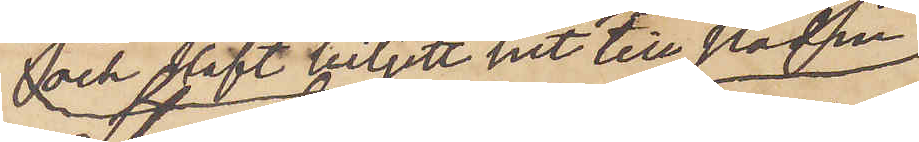och haft biljett hit till staden,
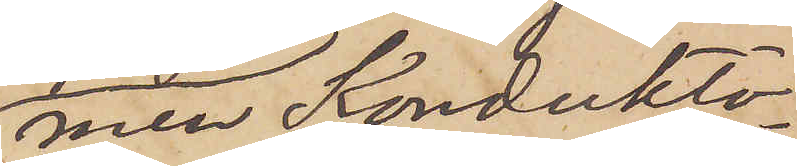men Konduktö¬
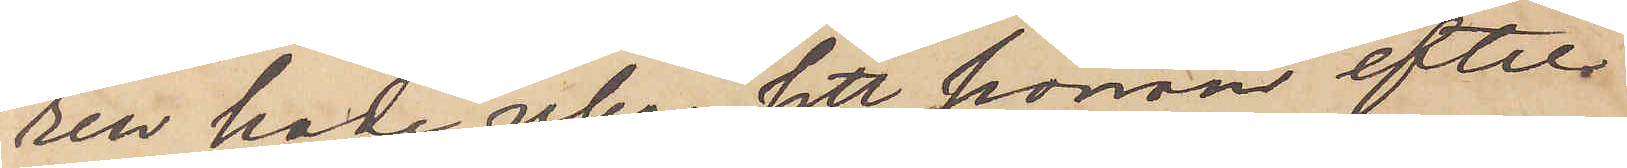ren hade icke sett honom efter
